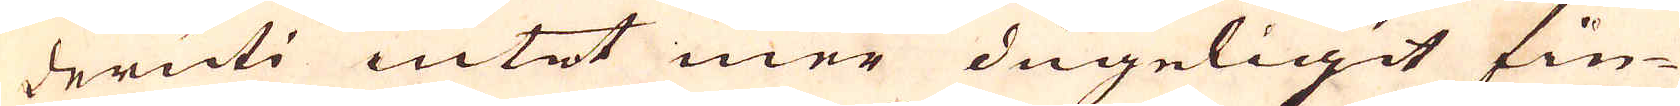deruti intet mer dugeligit fin-
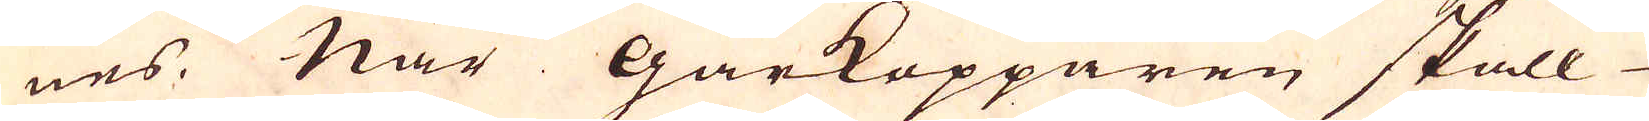nes. När Gårkopparen skall
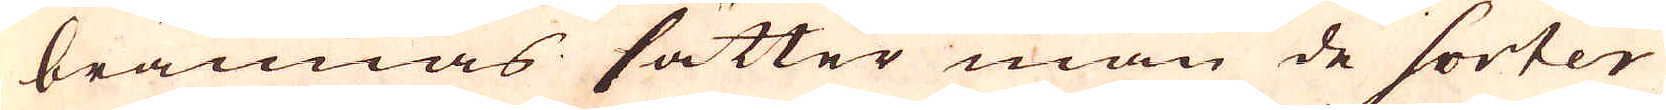brännas sätter man de sorter
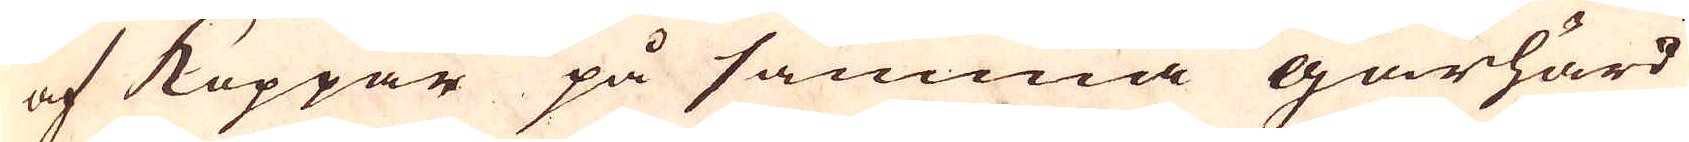af Koppar på samma gårhärd
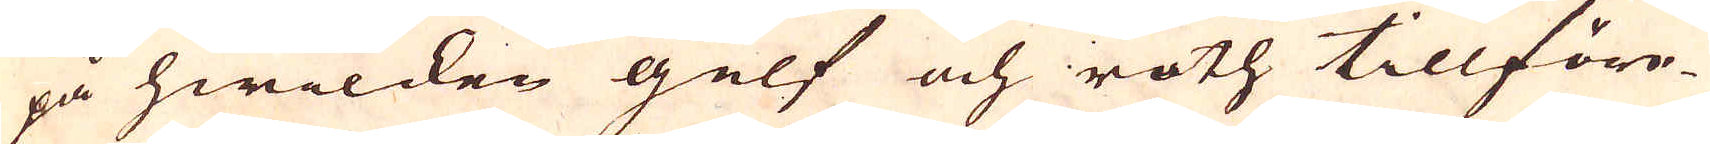på hwilcken gelf och roth tillföre-
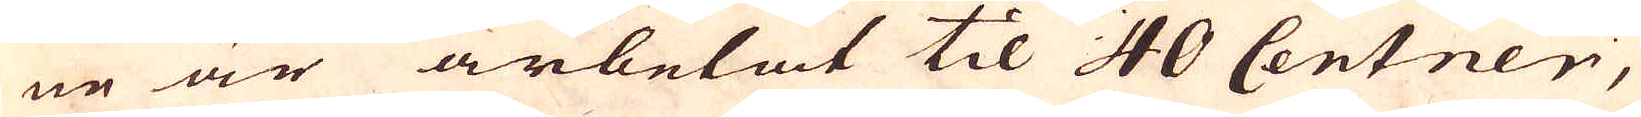ne är arbetat til 40 Centner,
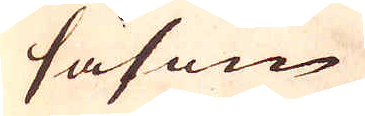såsom
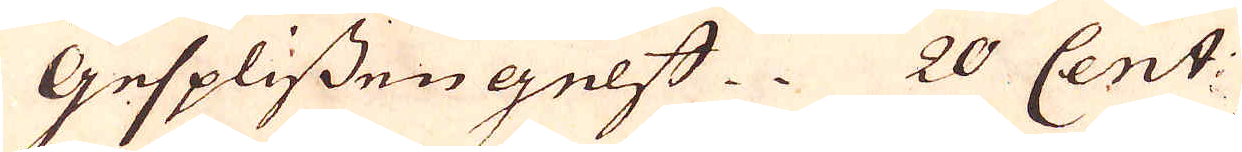Gesplissengelff. 20 Cent:
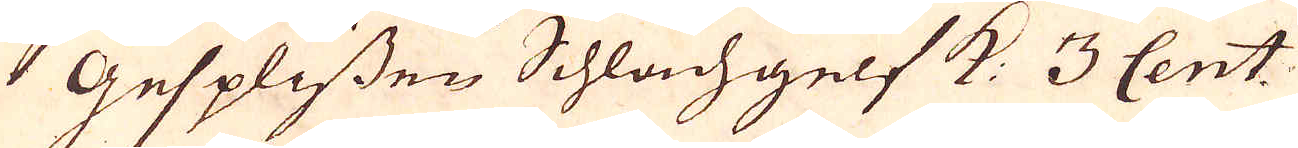Gesplissen Schlach gelf K: 3 Cent:
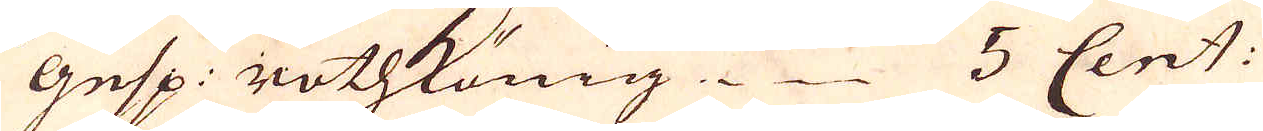Gesp: rothKönig. 5 Cent:
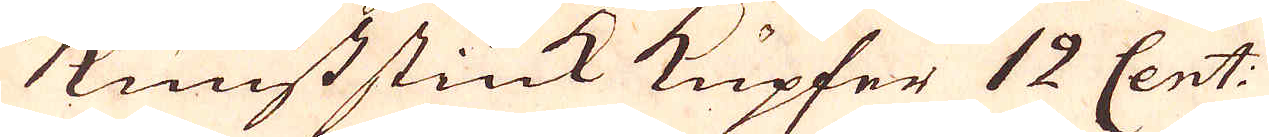Kunst stück Kupfer 12 Cent:
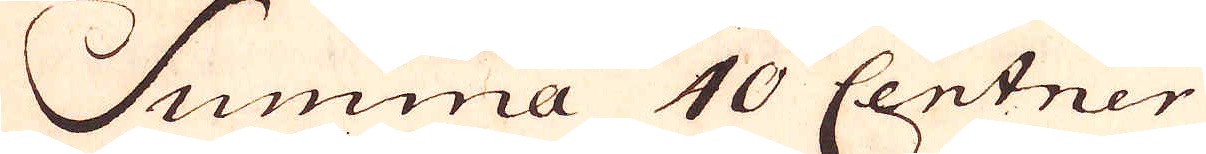Summa 40 Centner
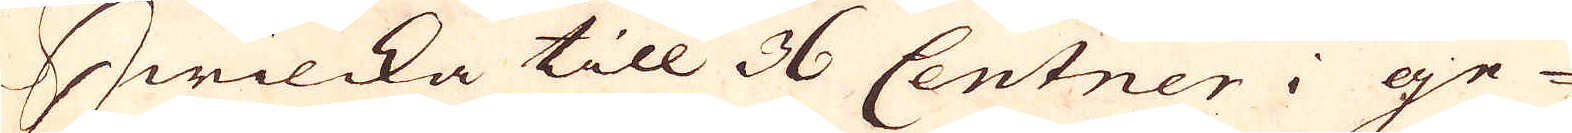Hwilcka till 36 Centner i ge-
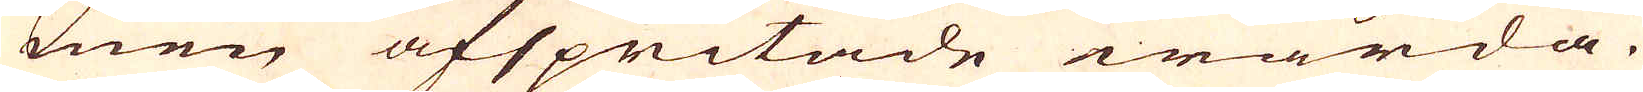men afspritade warda.
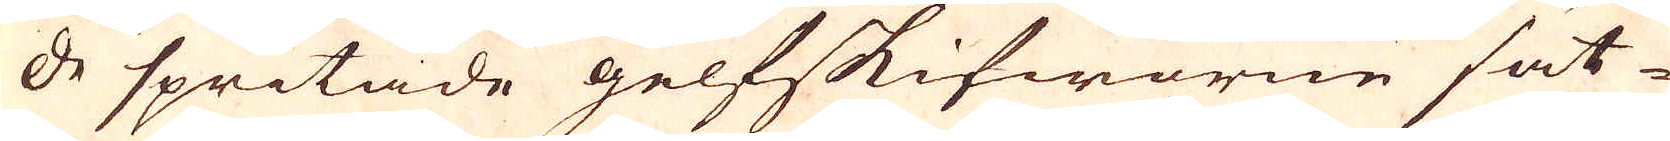De spritade gelfskifworne sät-
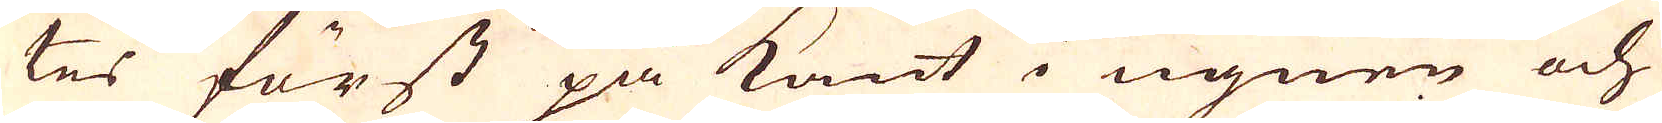tes först på kant i ugnen och
